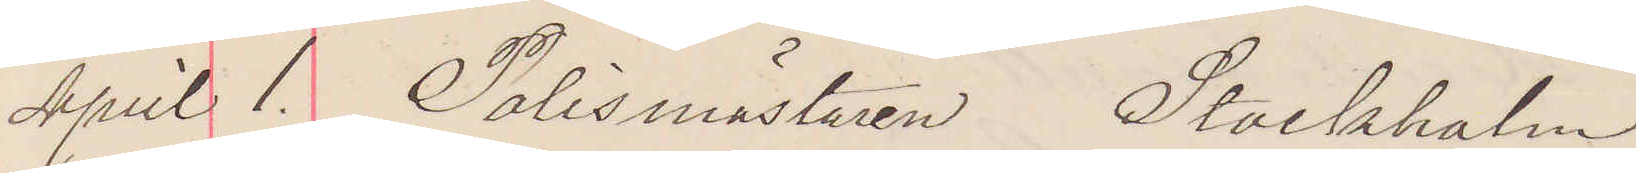April 1. Polismästaren Stockholm
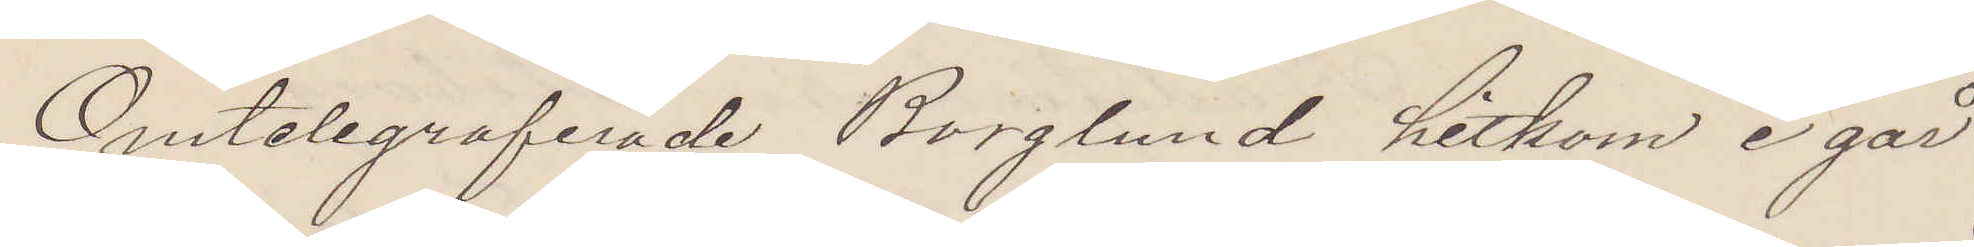Omtelegraferade Borglund hitkom i går
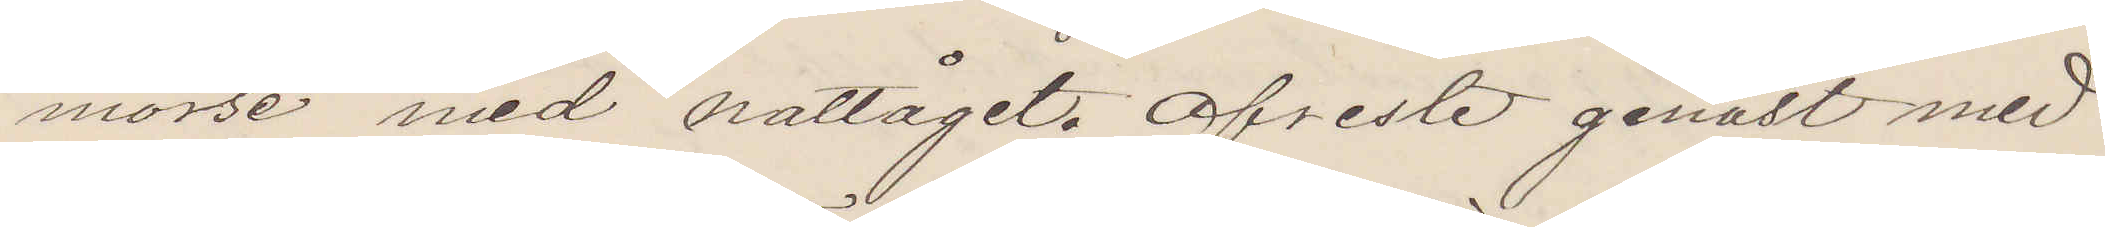morse med nattåget. Afreste genast med
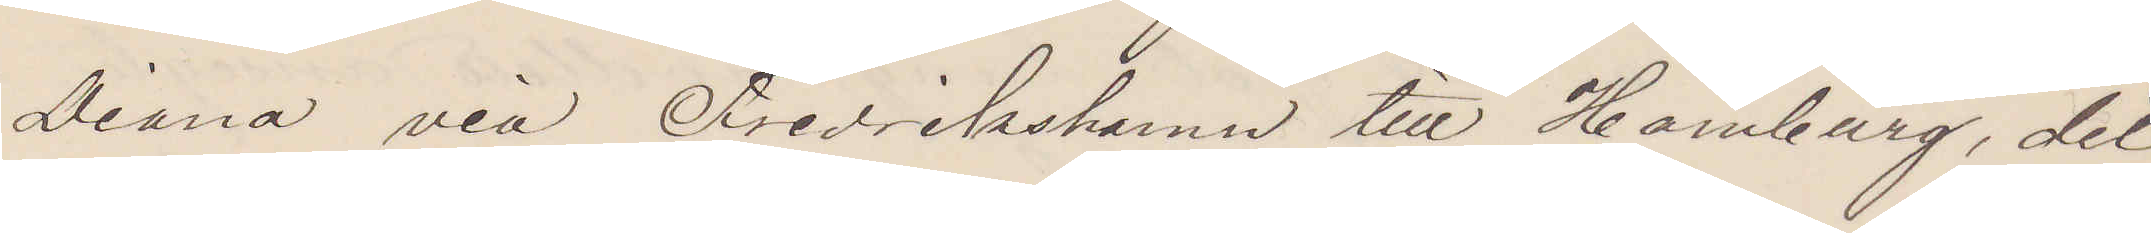Diana via Fredrikshamn till Hamburg, dit
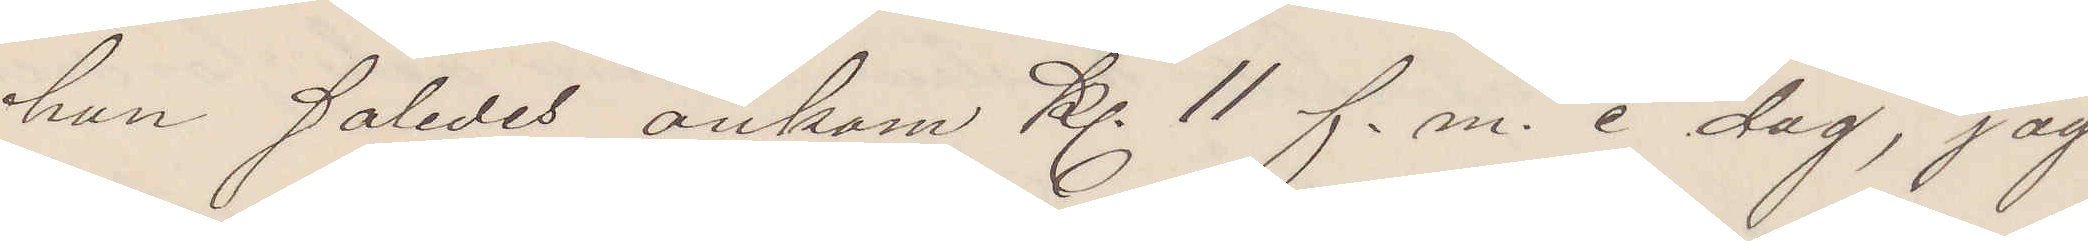han således ankom kl. 11 f. m. i dag, jag
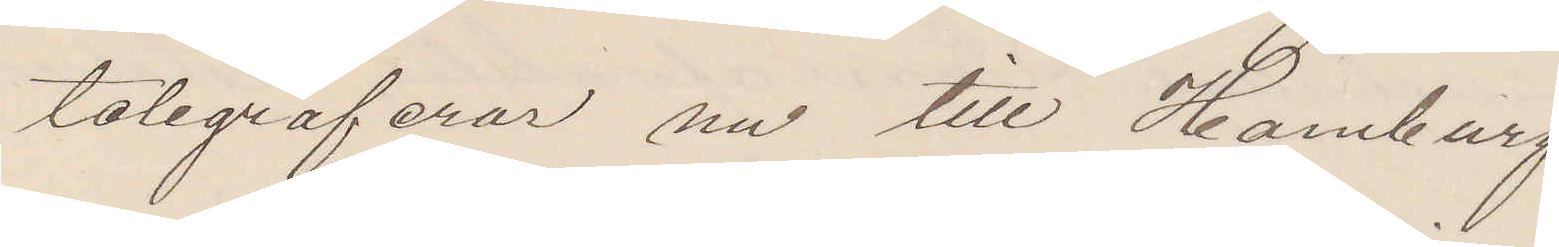telegraferar nu till Hamburg.
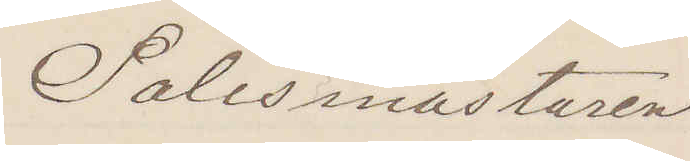Polismästaren
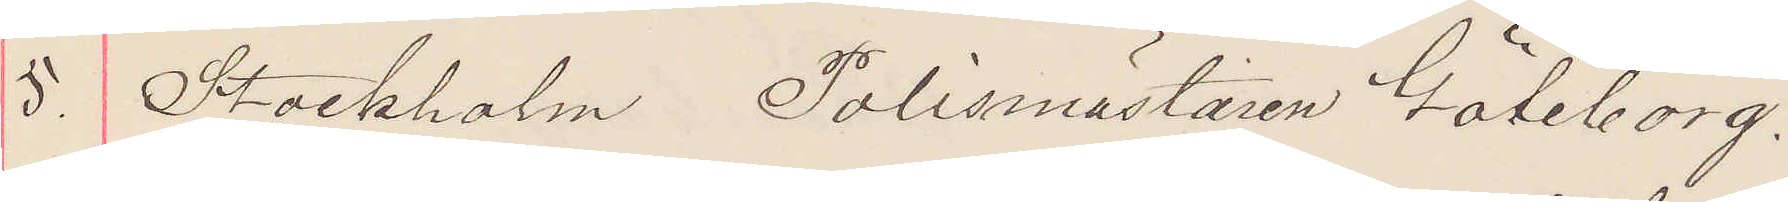5. Stockholm Polismästaren Göteborg.
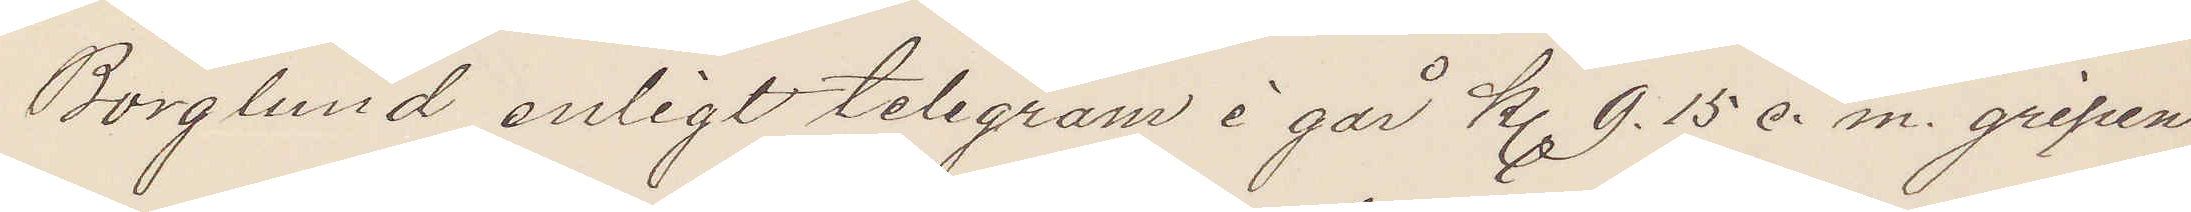Borglund enligt telegram i går kl 9.15 e. m. gripen
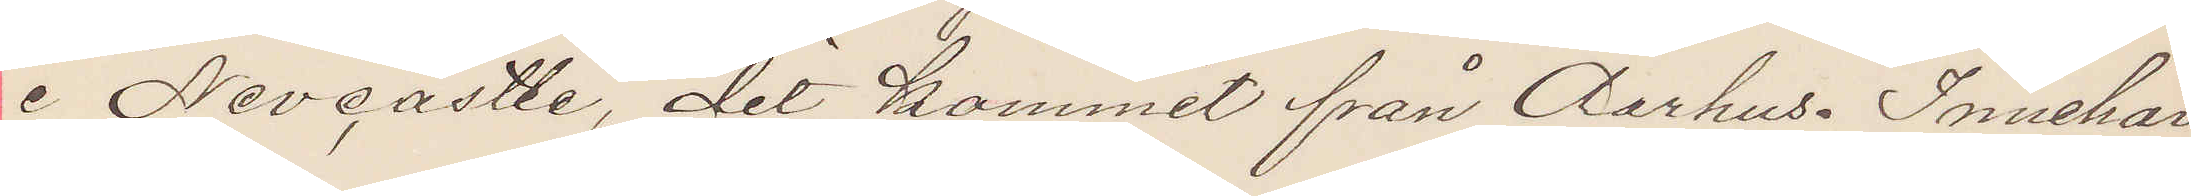i Nevcastle, dit kommit från Aarhus. Innehar
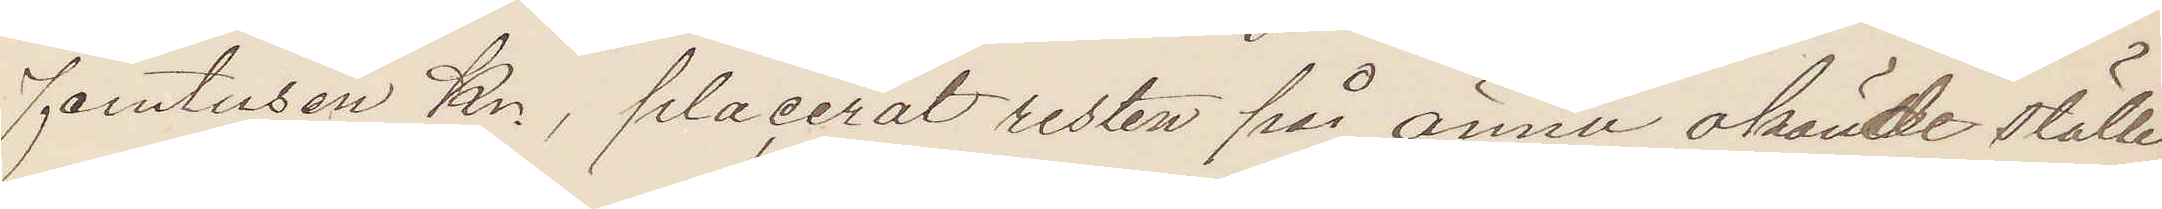femtusen Kr., placerat resten på ännu okände ställe
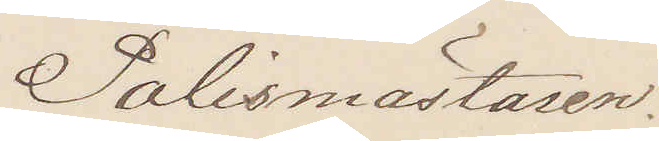Polismästaren.
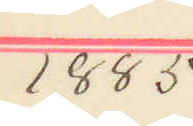1885
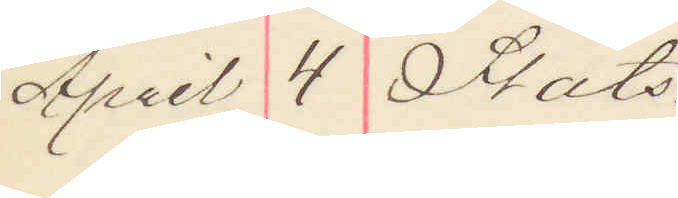April 4 Stats.
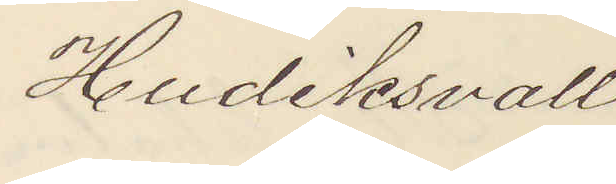Hudiksvall
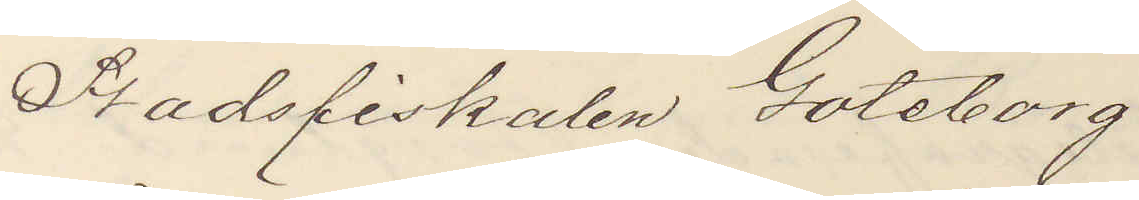Stadsfiskalen Göteborg.
